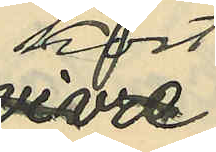kost
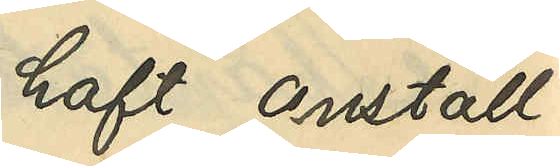haft anställ¬
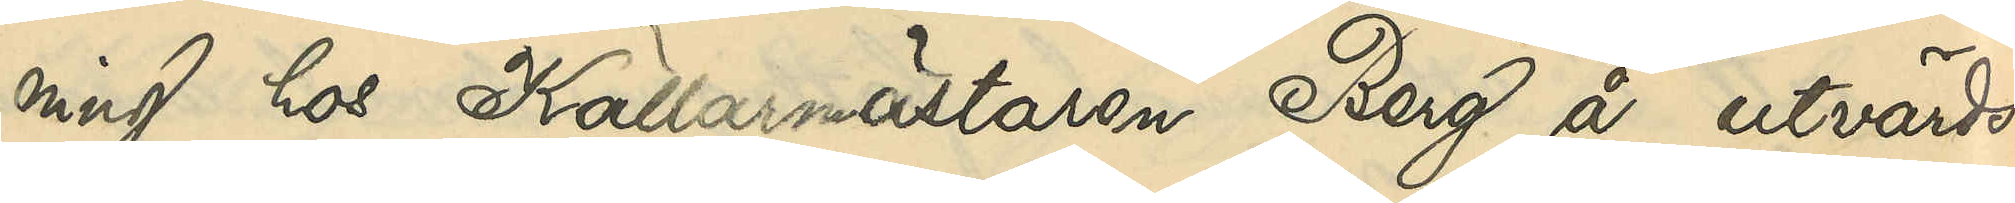ning hos Källarmästaren Berg å utvärds¬
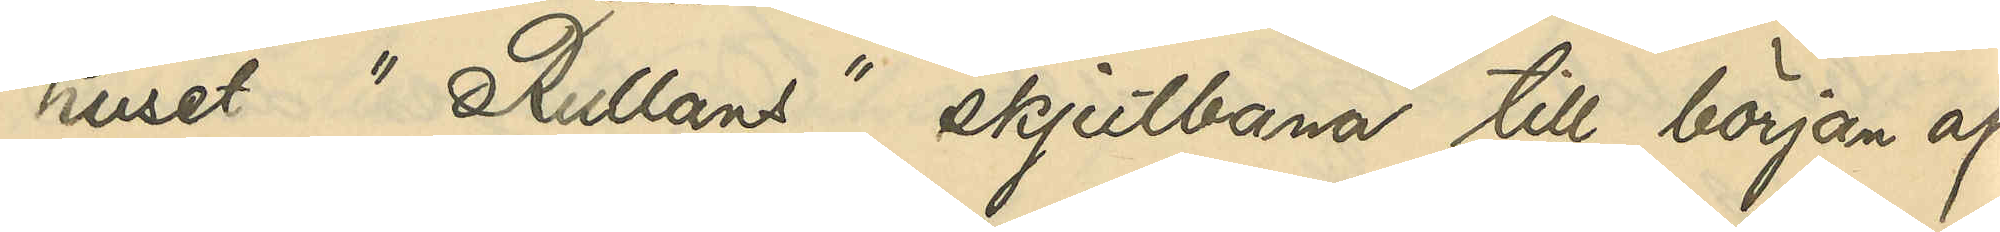huset "Rullans" skjutbana till början af
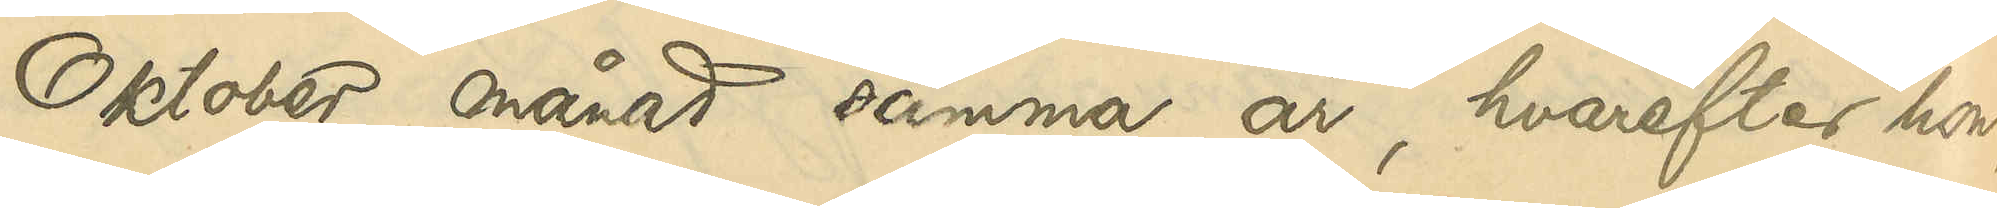Oktober månad samma år, hvarefter hon,
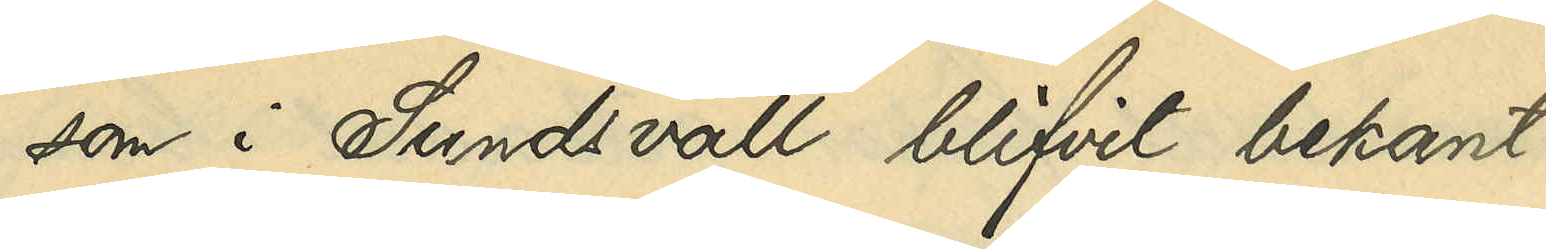som i Sundsvall blifvit bekant
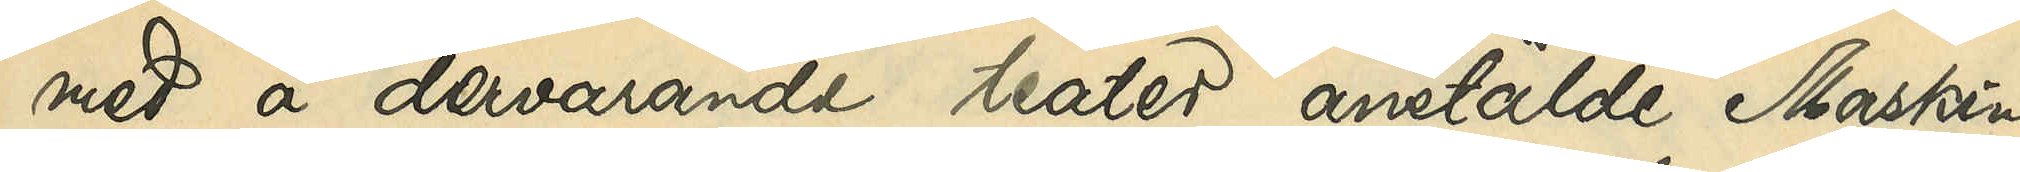med å dervarande teater anstälde Maskin¬
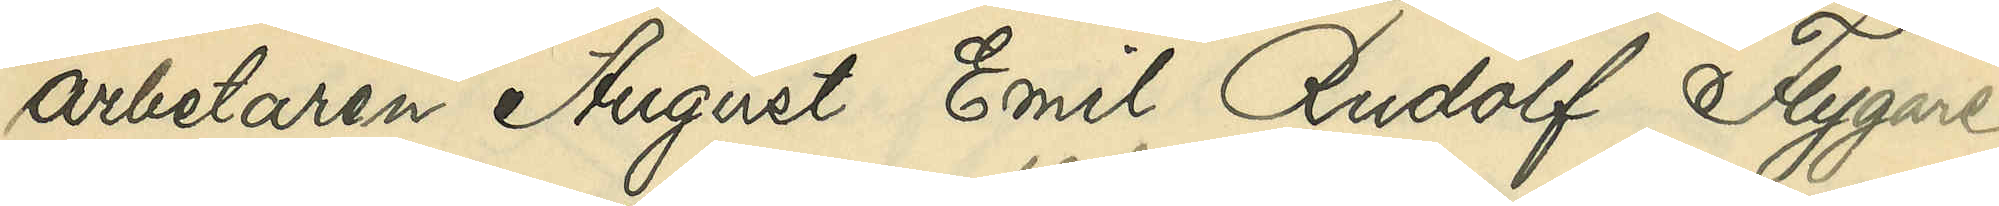arbetaren August Emil Rudolf Flygare,
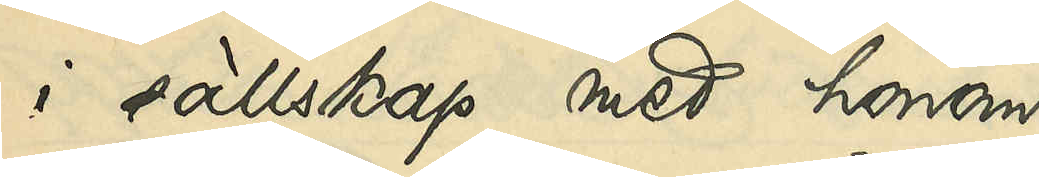i sällskap med honom
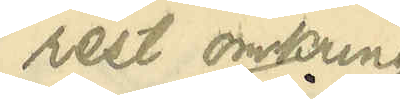rest omkring
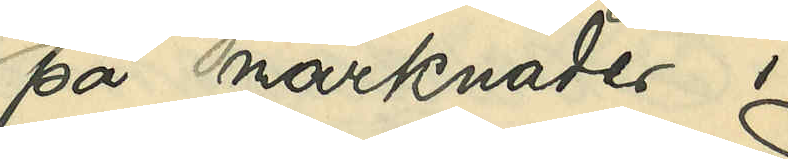på marknader i
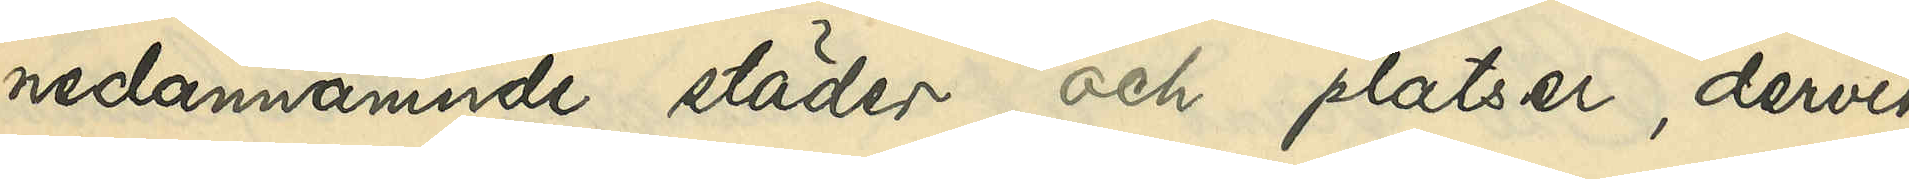nedannämnde städer och platser, dervid
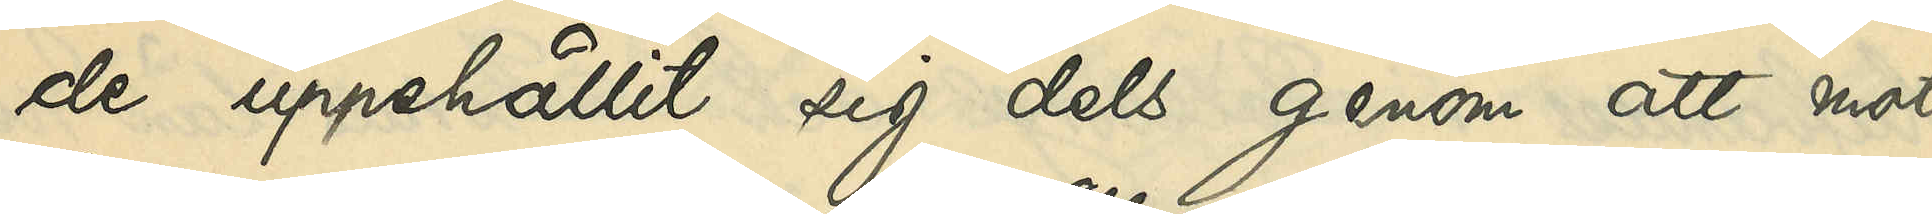de uppehållit sig dels genom att mot
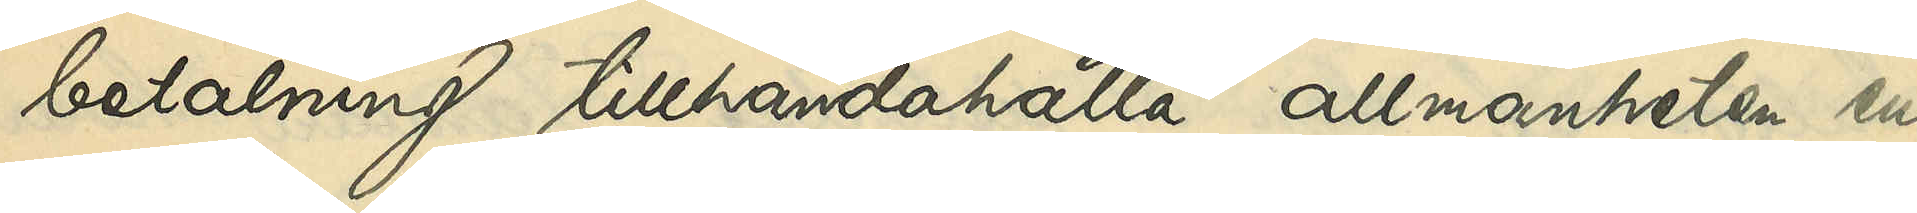betalning tillhandahålla allmänheten en
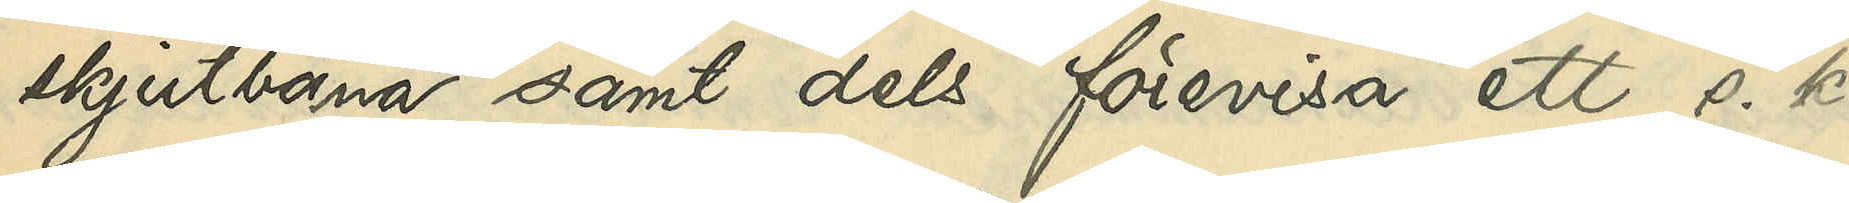skjutbana samt dels förevisa ett s. k.
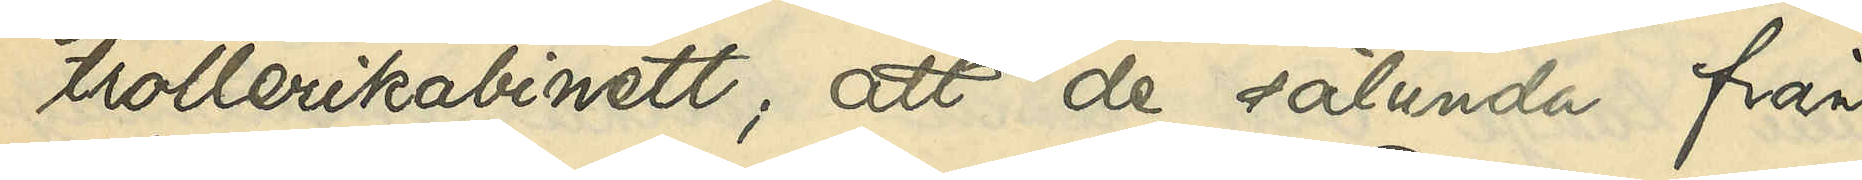trollerikabinett; att de sålunda från
